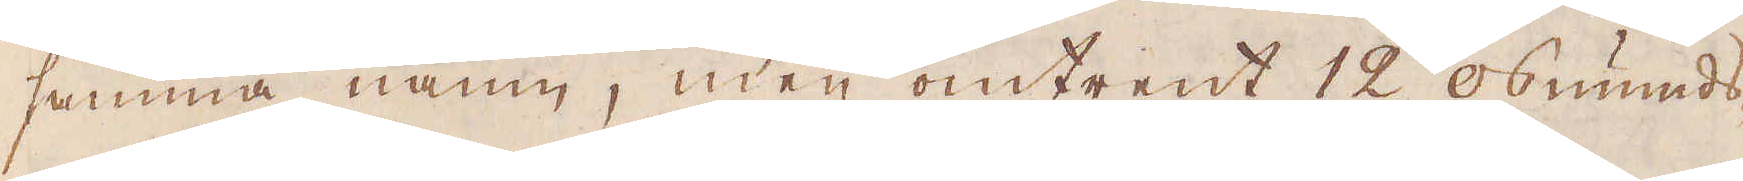samma namn, men omtrent 12 osmunds-
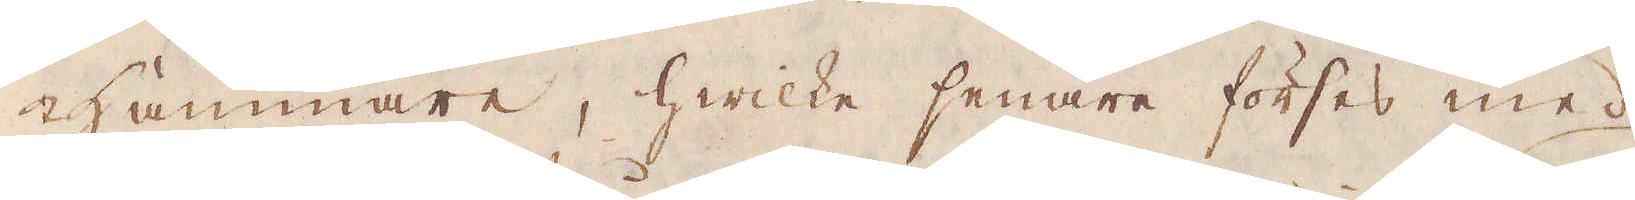hammare, hwilke senare förses med
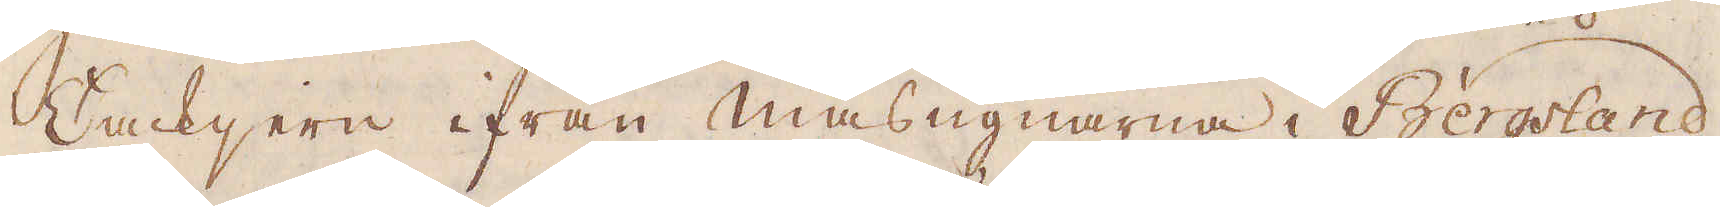Tackjern ifrån Masugnarne i Bergsland,
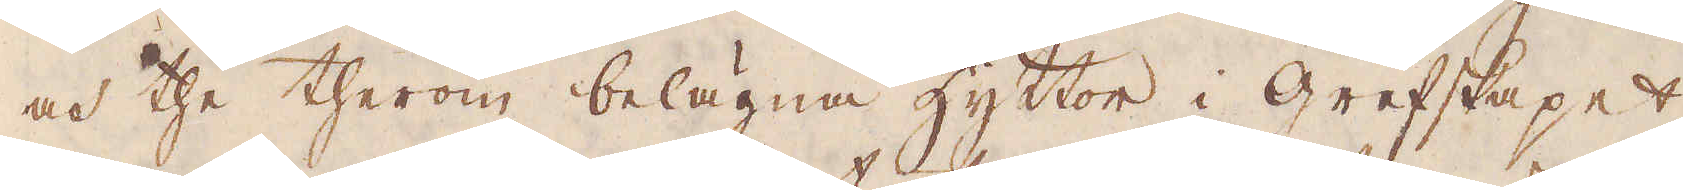och the therom belägna hyttor i grefskapet
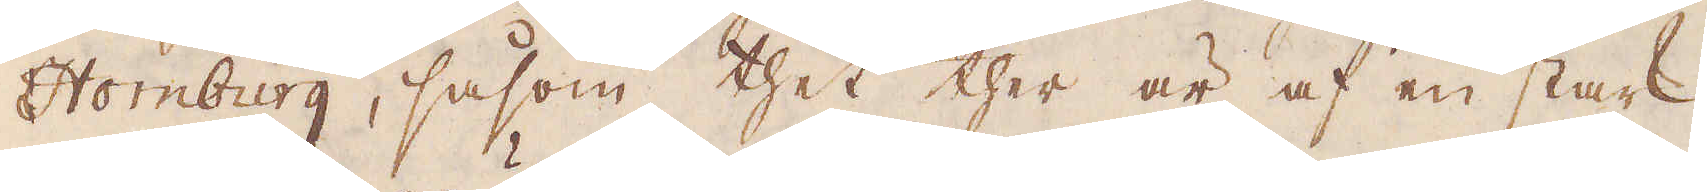Homburg, såsom thet ther är af en stark
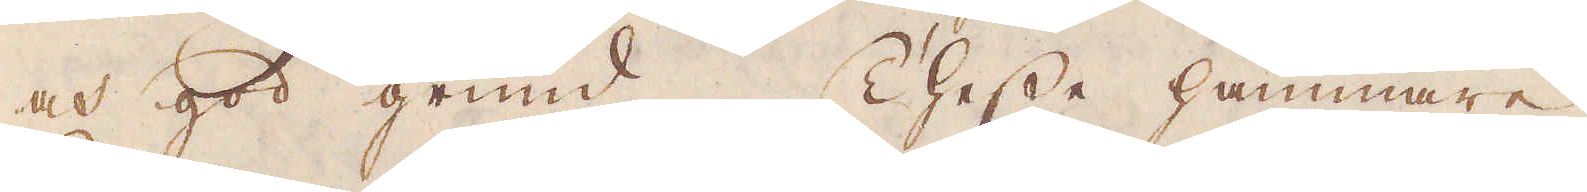och god grund. Thesse hammare
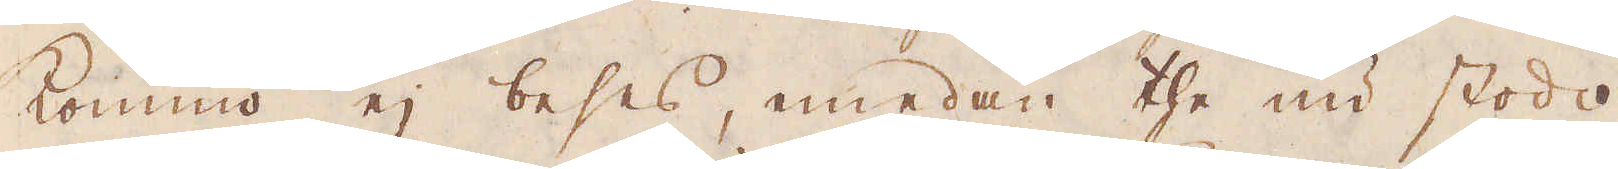kommo ej beses, emedan the nu stodo
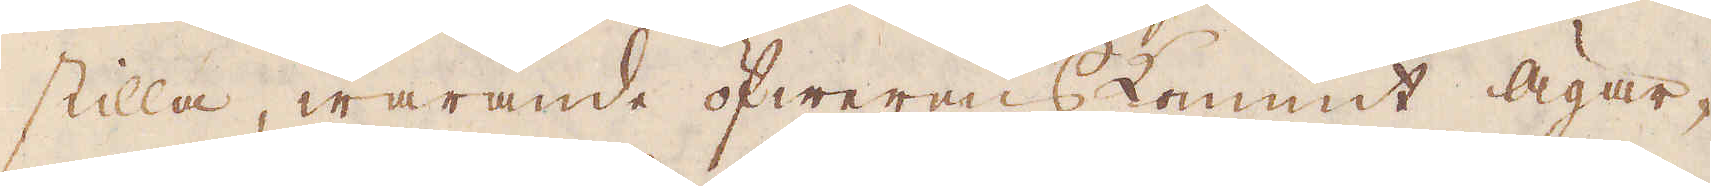stilla, warande öfwerenskommit Ägar-
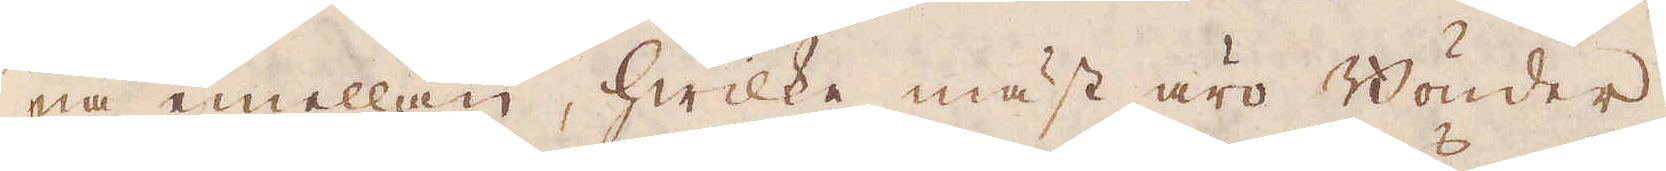na emellan, hwilke mäst äro Bönder,
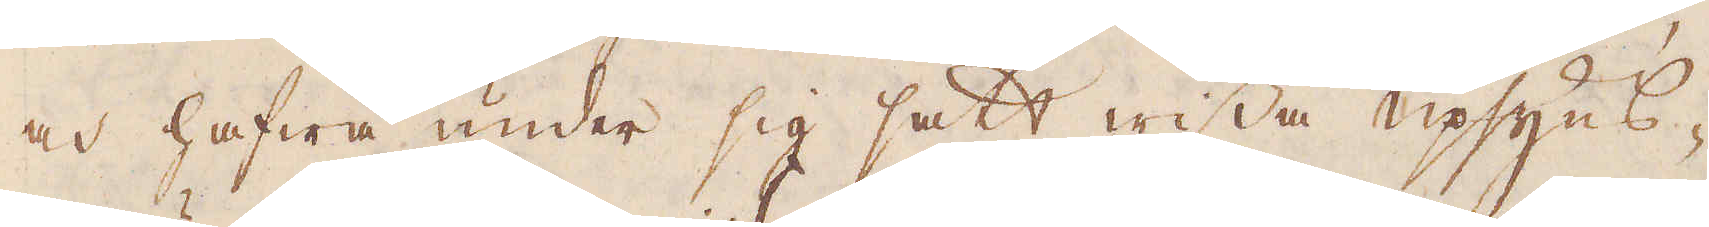och hafwa under sig satt wissa upsyns-
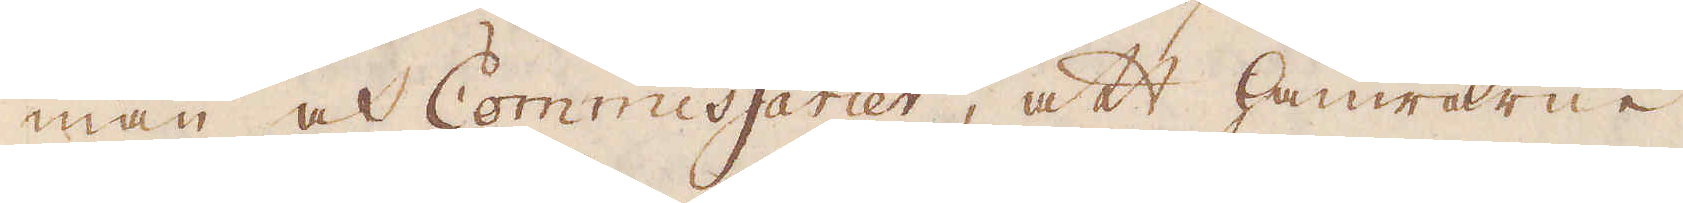män och Commissarier, att hamrarne
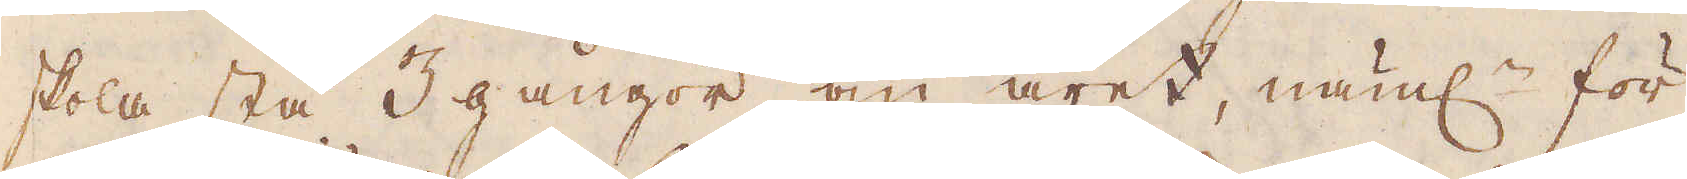skola stå 3 gångor om året, näml:n för
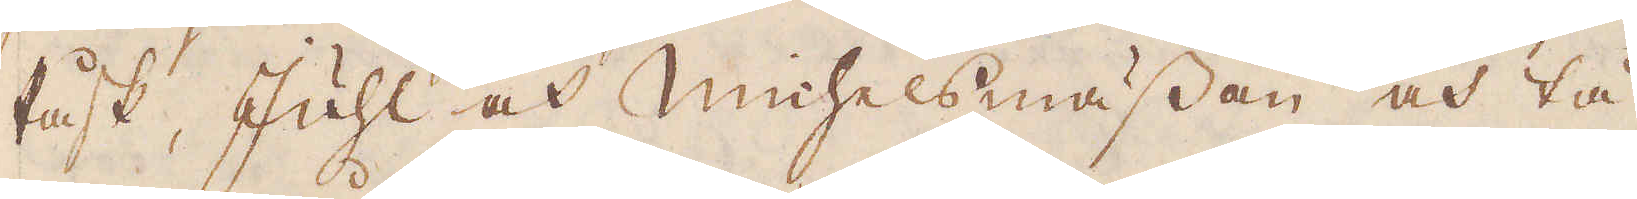Påsk, Juhl och Michelsmässan och tå
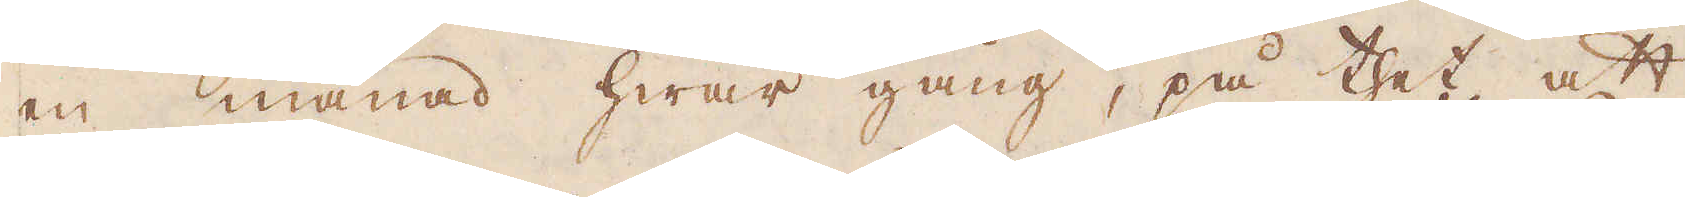en månad hwar gång, på thet att
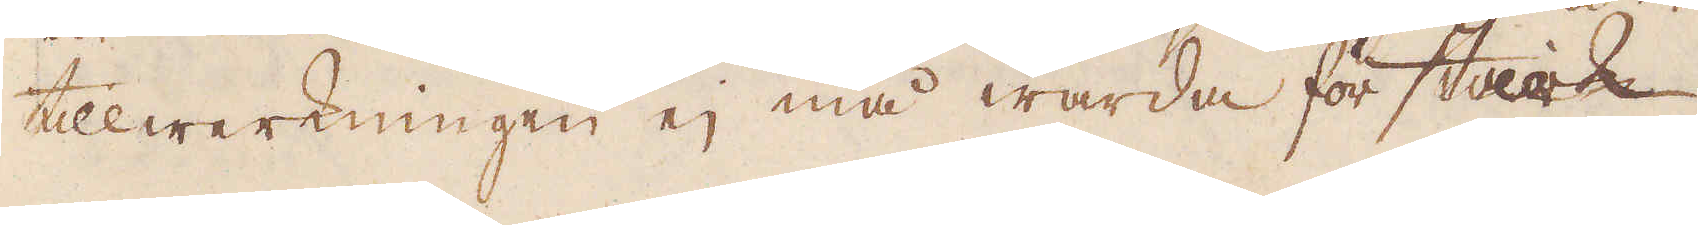tillwerkningen ej må warda för stark.
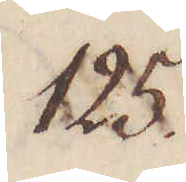125.
